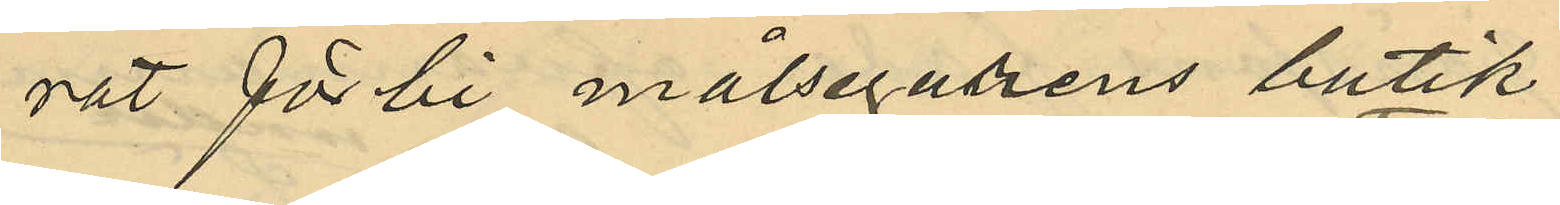rat förbi målsegarens butik
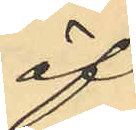öf¬
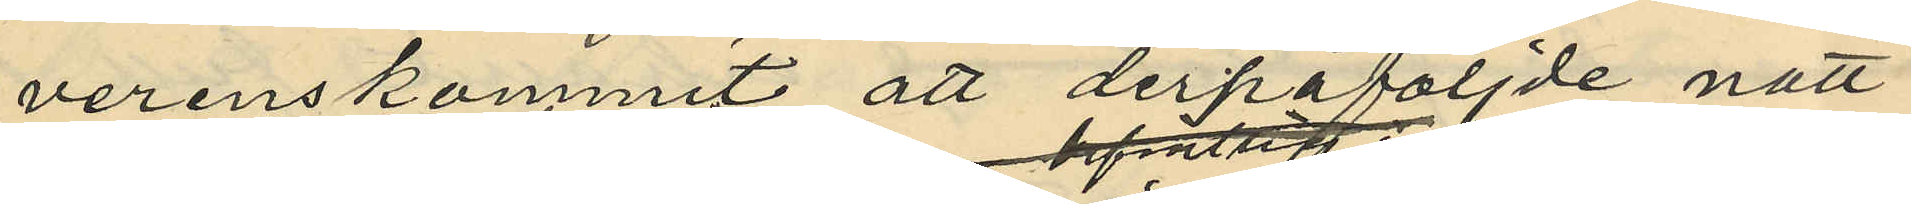verenskommit att derpåföljde natt
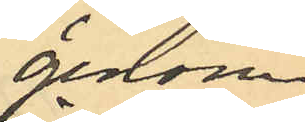genom
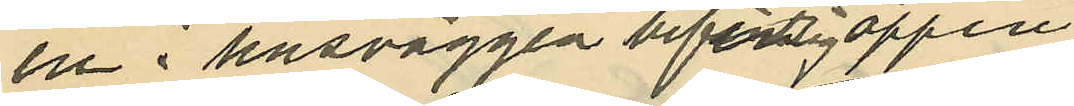en i husväggen befintlig öppen
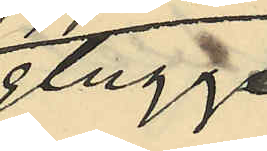glugg
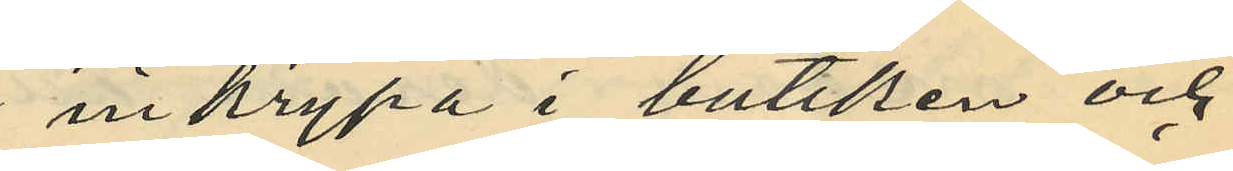inkrypa i butiken och
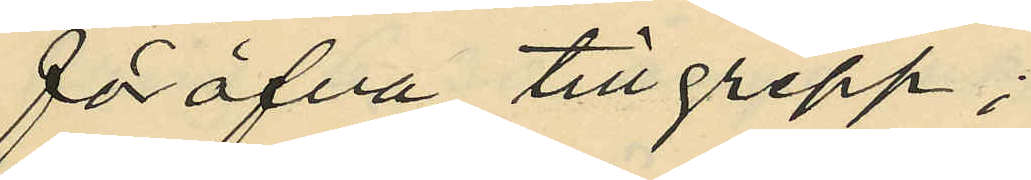föröfva tillgrepp;
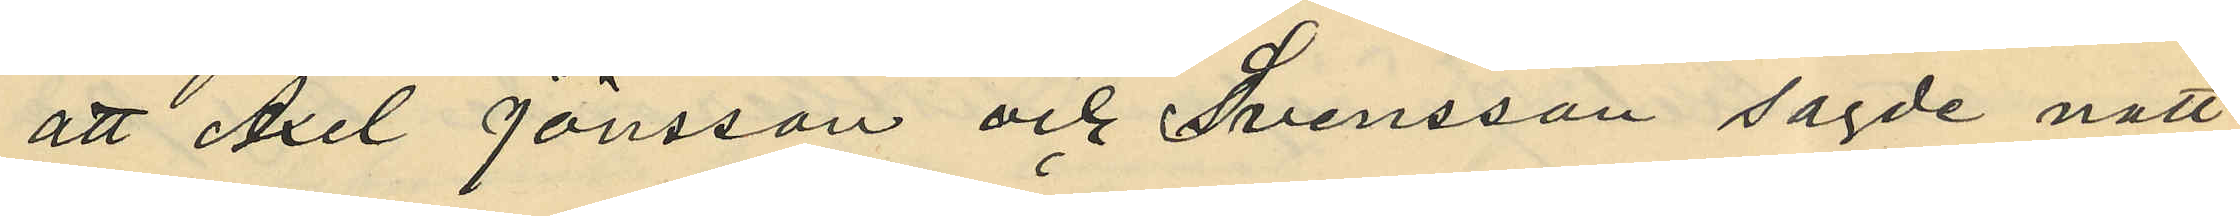att Axel Jönsson och Svensson sagde natt
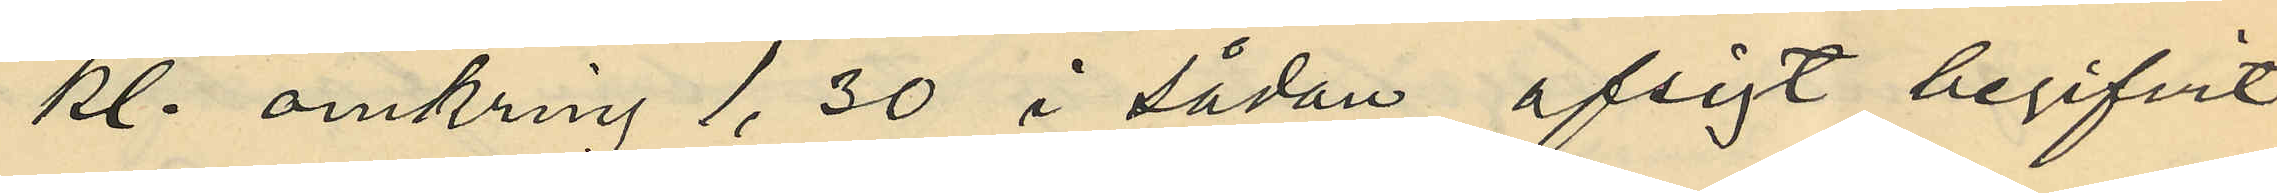kl. omkring 1,30 i sådan afsigt begifvit
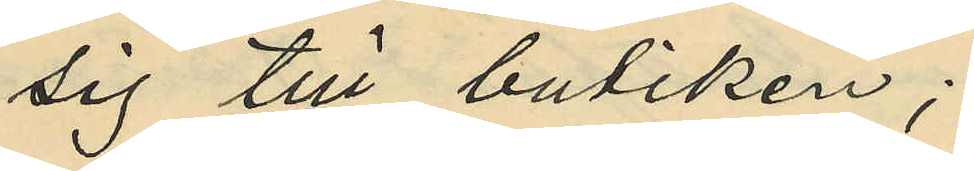sig till butiken;
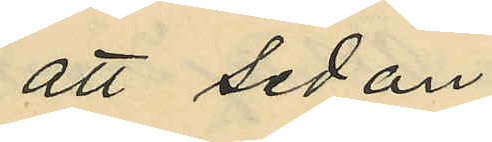att sedan
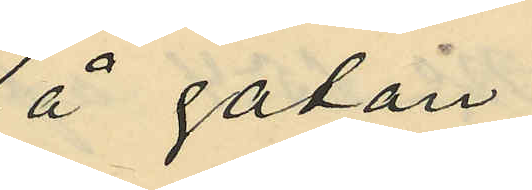å gatan.
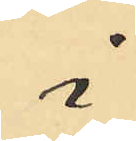i
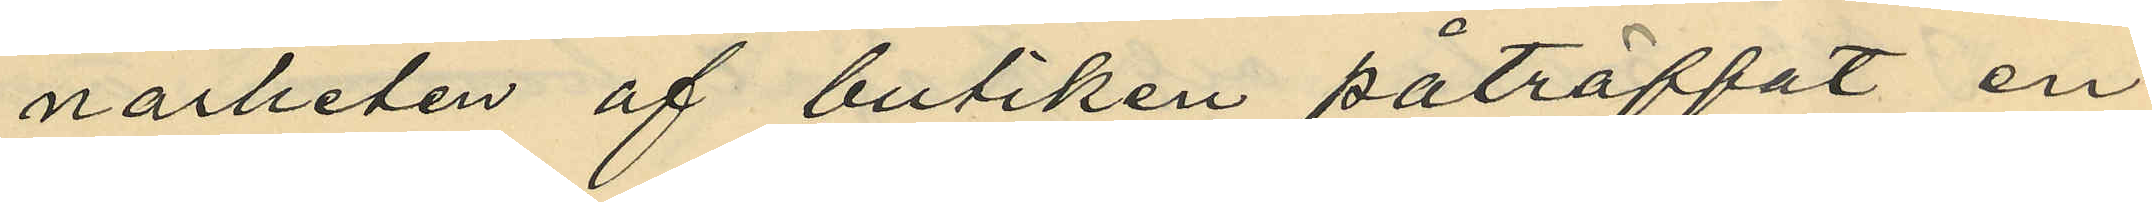närheten af butiken påträffat en
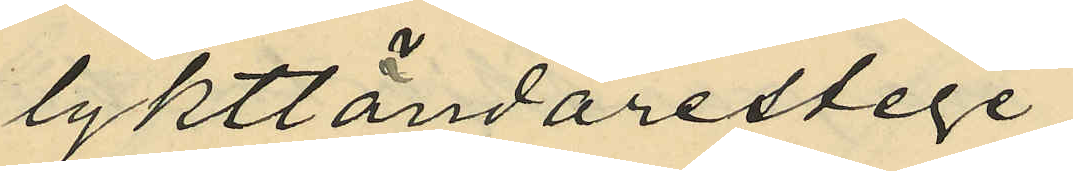lykttändarestege
